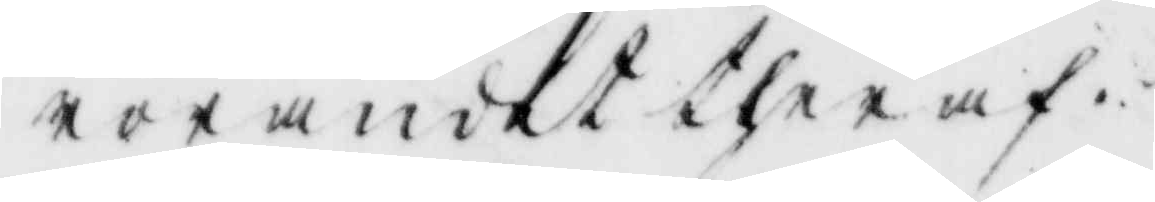rörandet theraf.
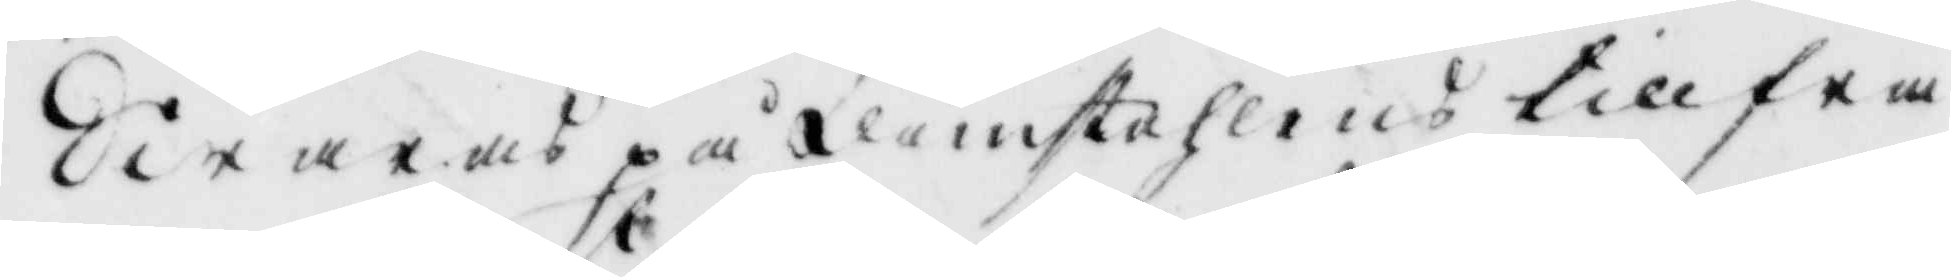Swaras på domstohlens tillfra¬
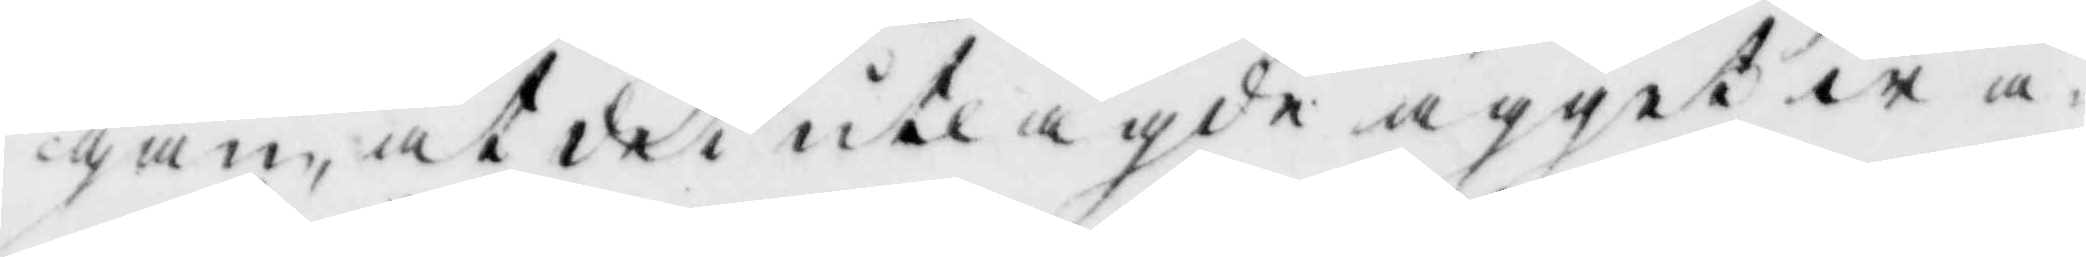gan, at det utlagde ägget wa¬
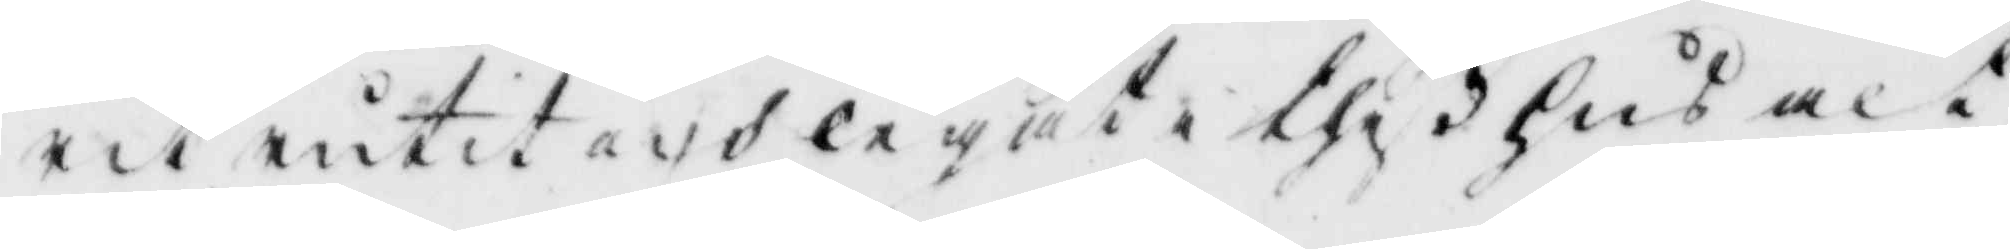rit rutet och legat i thes hus alt¬
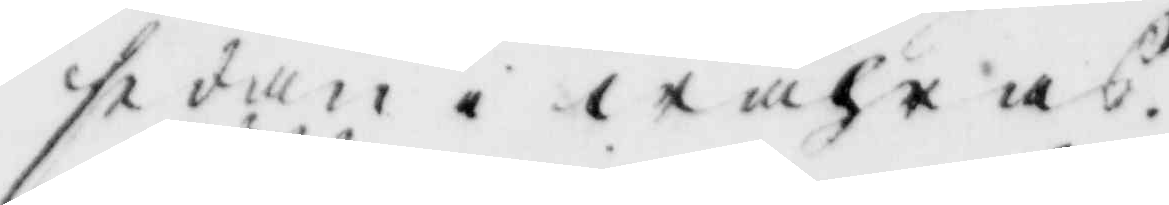sedan i wåhras.
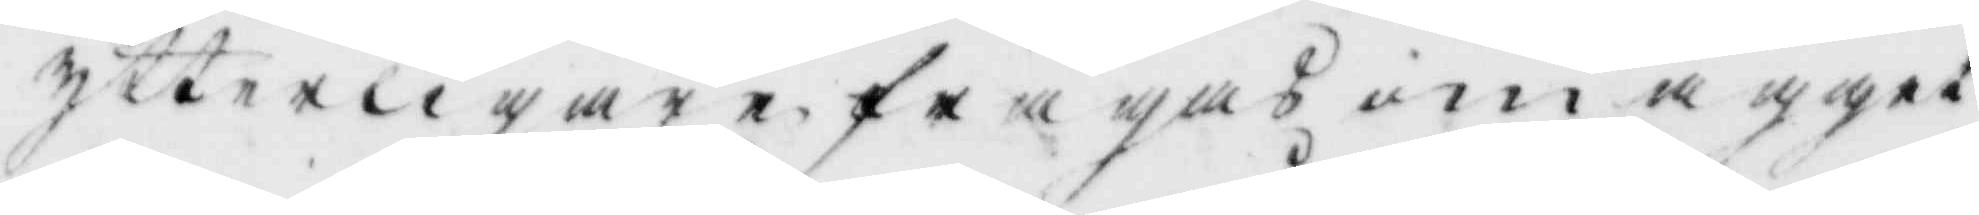ytterligare frågas om ägget
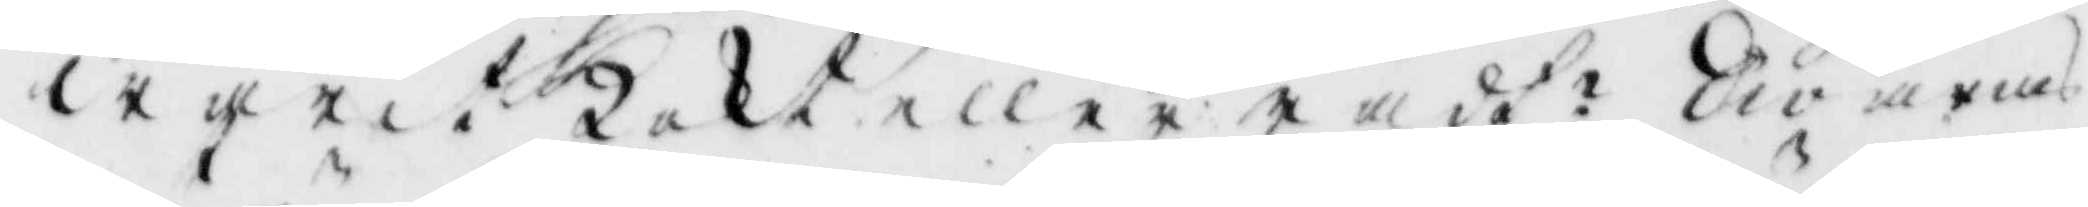warit kokt eller rådt? Swaras
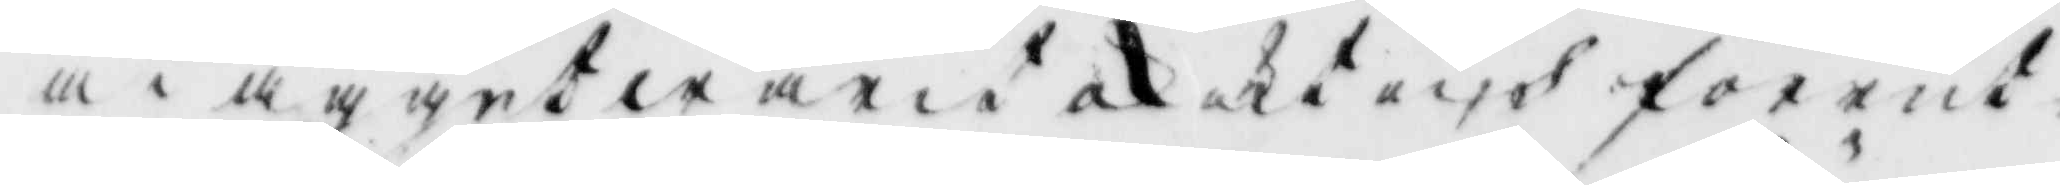at ägget warit okokt och förrut
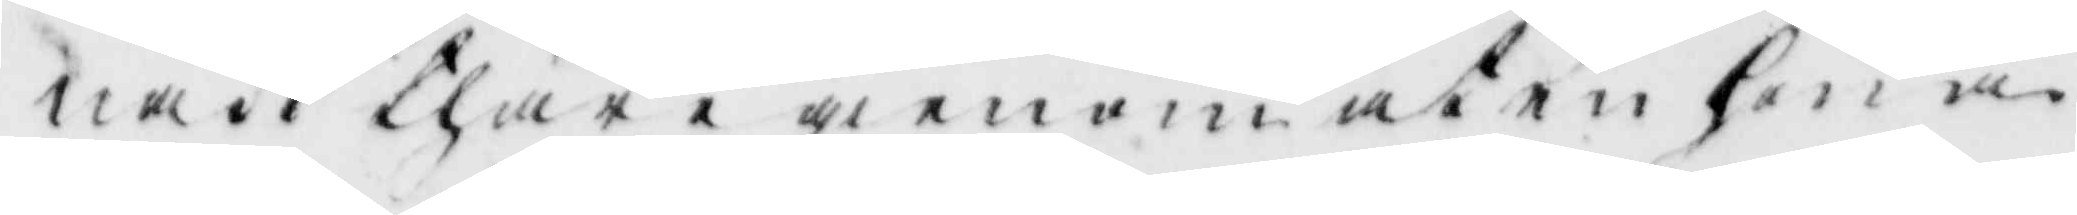nait thär i gienom at en höna
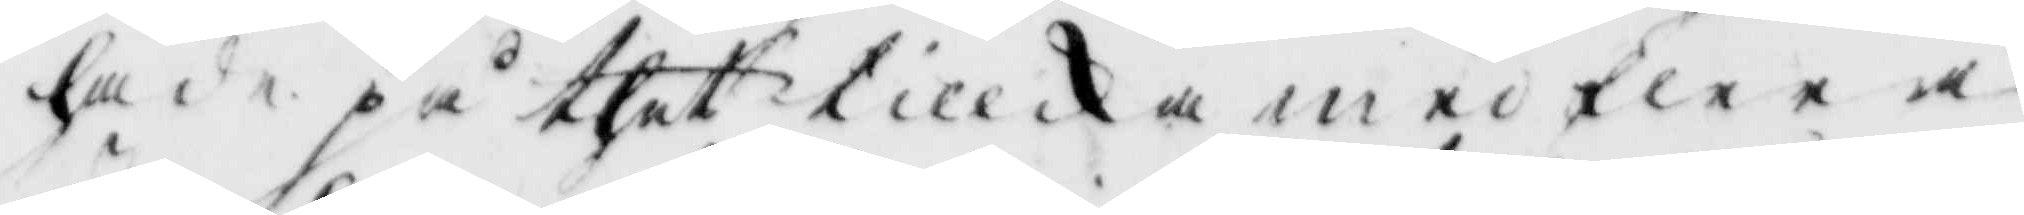hade på thet tillika med flera
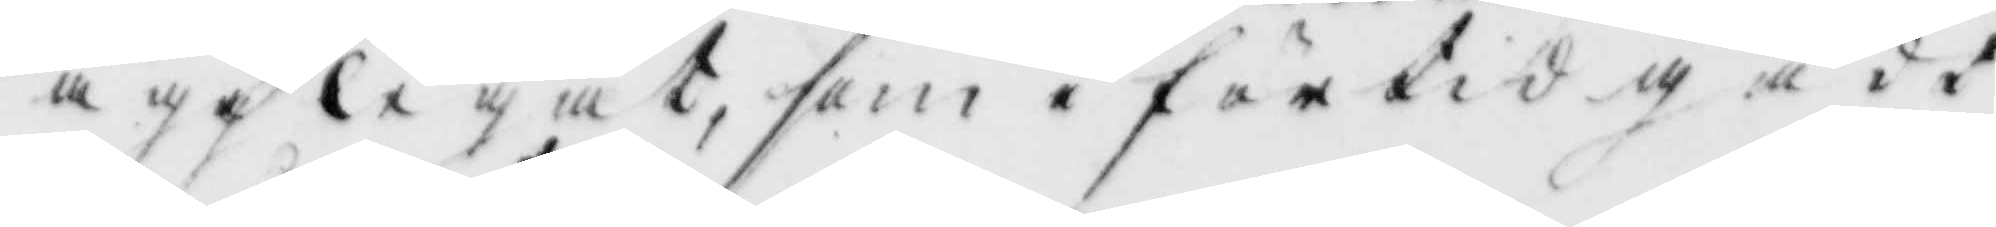ägg legat, som i förtid gådt
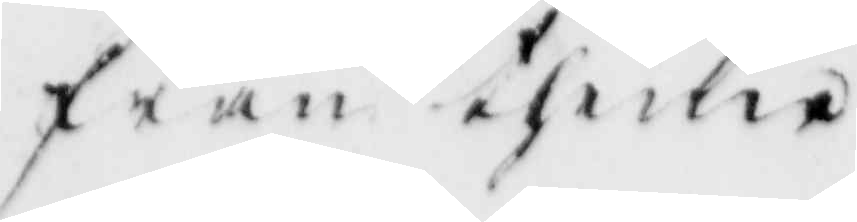från thenne.
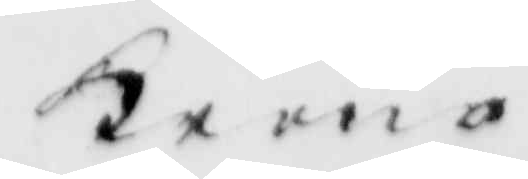Krono
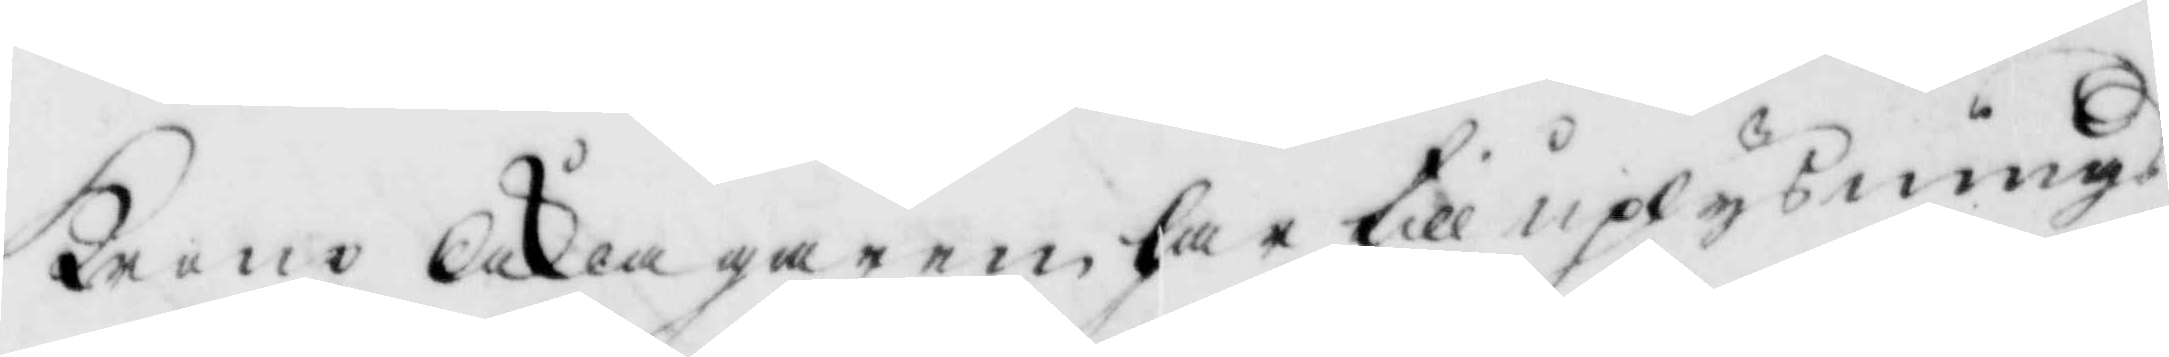krono Åklagaren har till uplysning
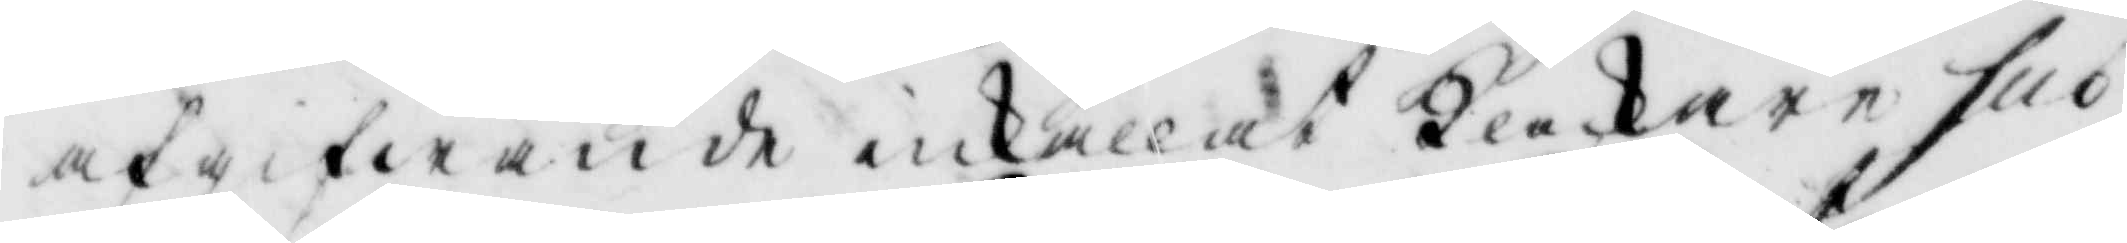af gifwande inkallat Klockare suo¬
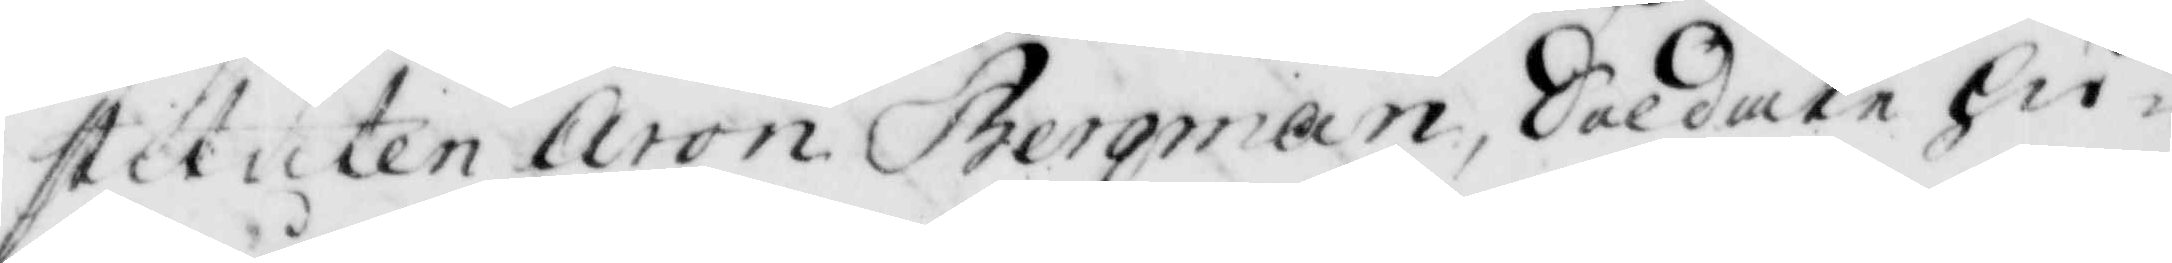stituten Aron Bergman, Soldate hu¬
